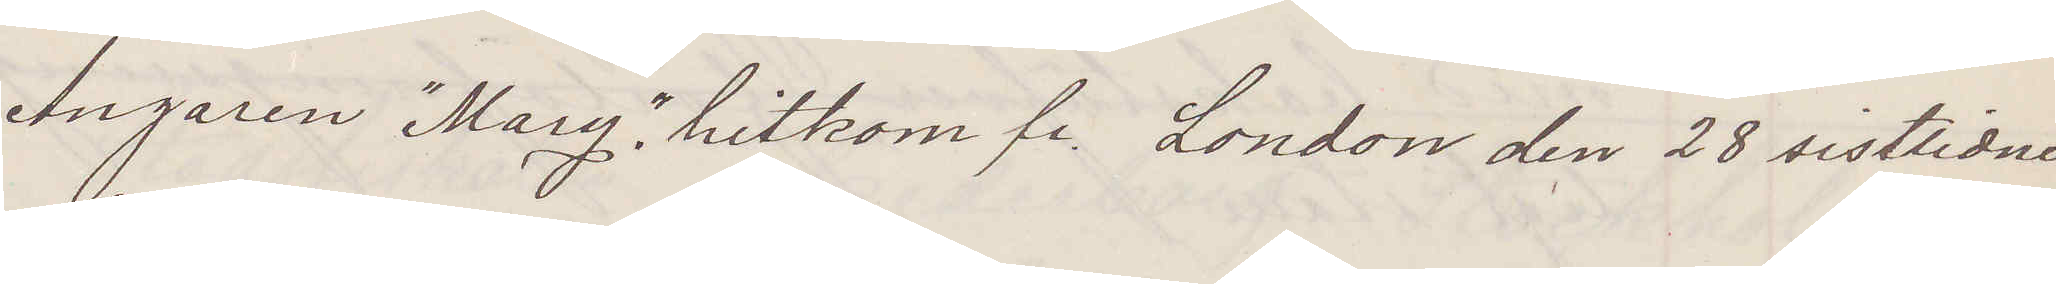Ångaren "Mary" hitkom fr London den 28 sistlidne
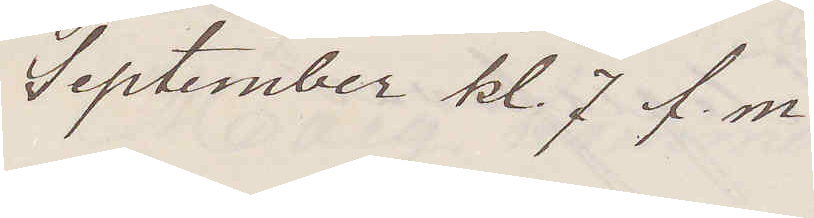September kl. 7 f. m. 
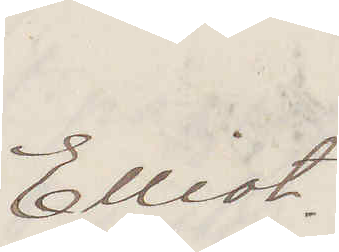Elliot.
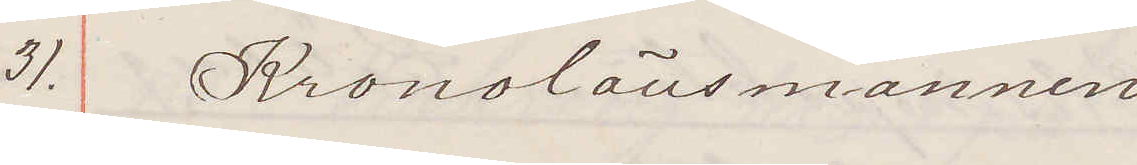31. Kronolänsmannen
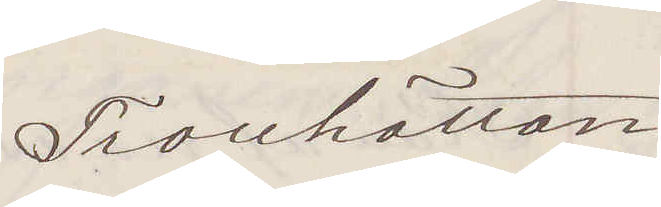Trollhättan
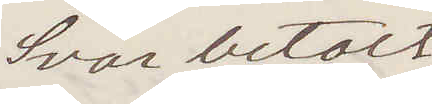Svar betalt
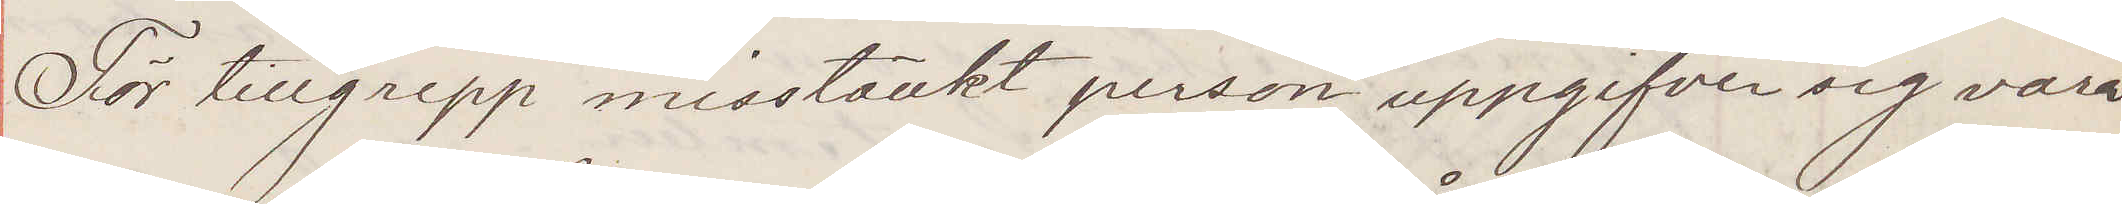För tillgrepp misstänkt person uppgifver sig vara
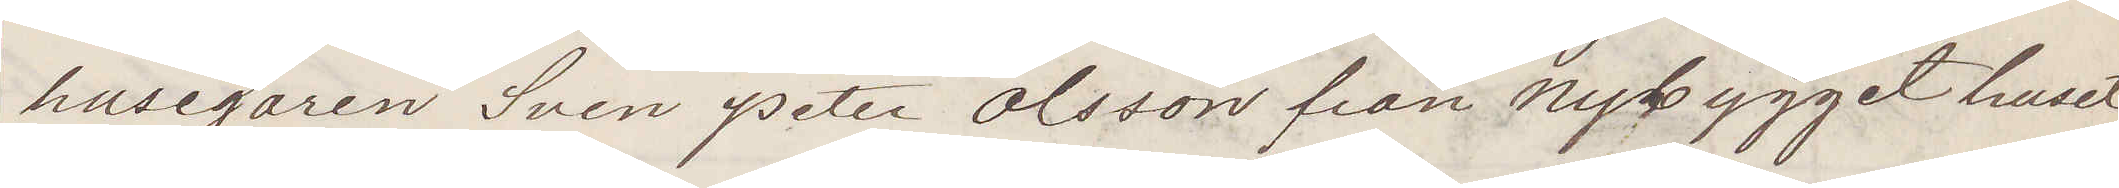husegaren Sven Peter Olsson från Nybygget huset
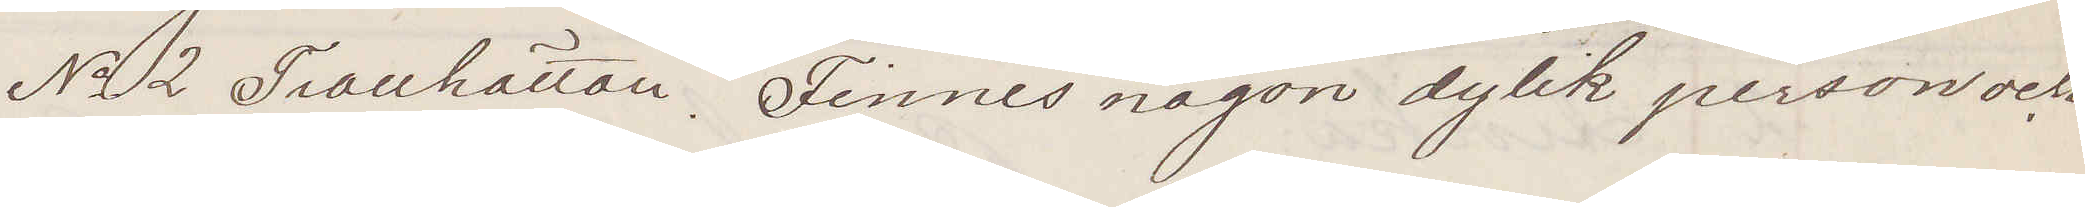No 2 Trollhättan. Finnes någon dylik person och
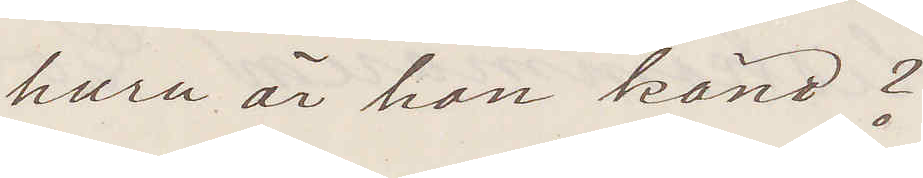huru är han känd?
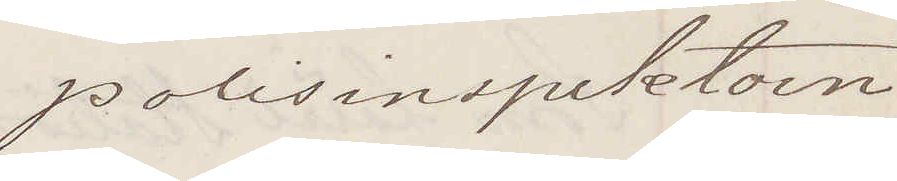Polisinspektorn
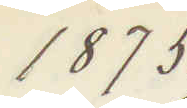1875.
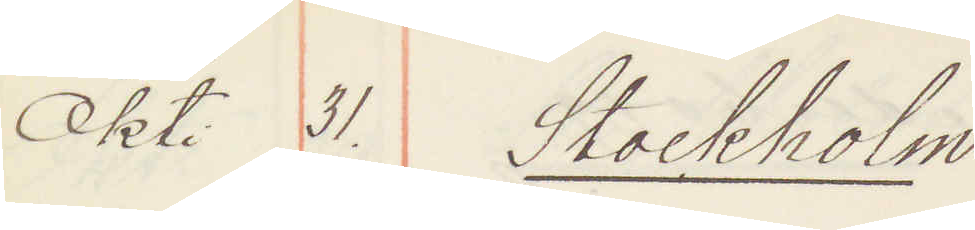Okt. 31. Stockholm
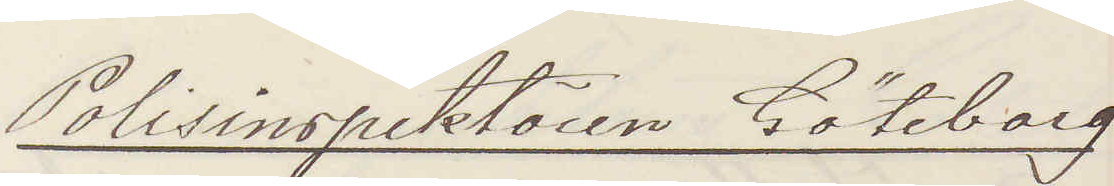Polisinspektören Göteborg
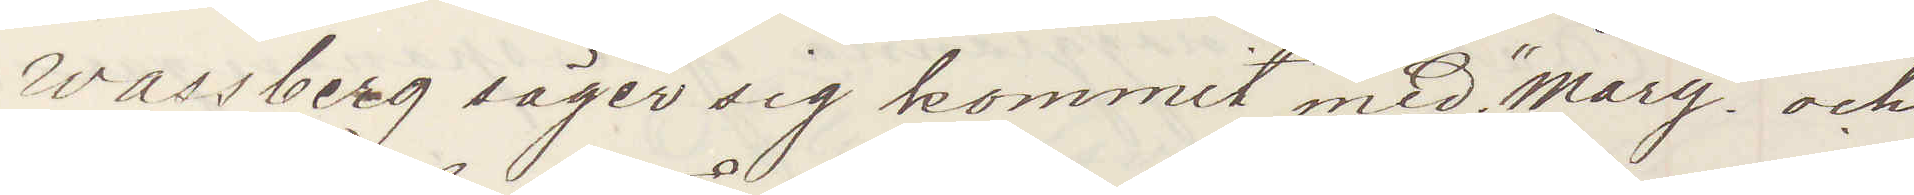Wassberg säger sig kommit med "Mary" och
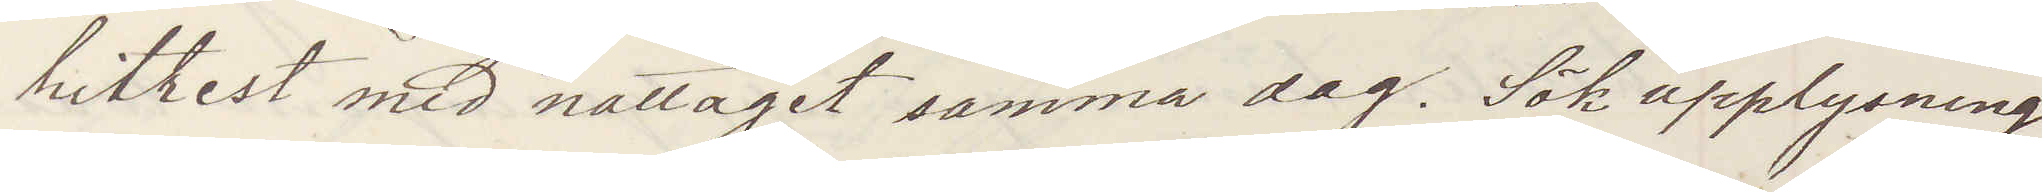hitrest med nattåget samma dag. Sök upplysning
